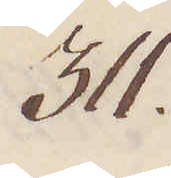311.
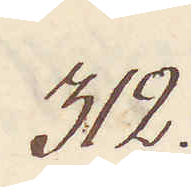312.
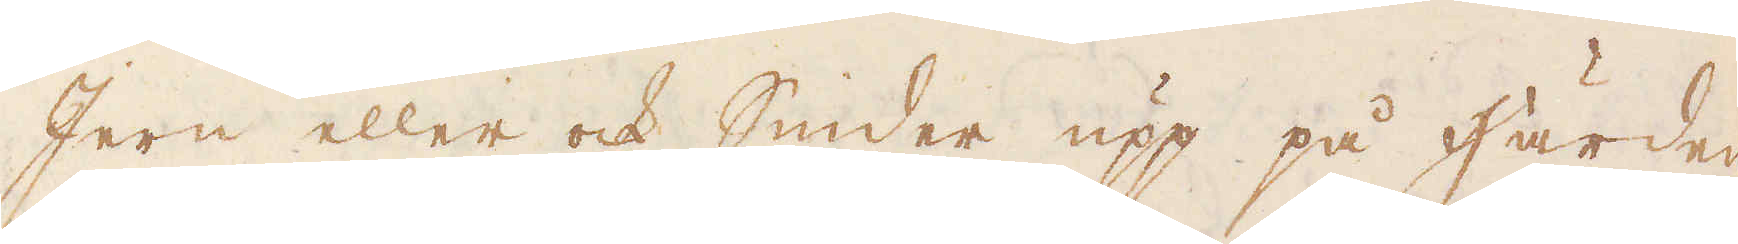Jern eller och Smider upp på Härden
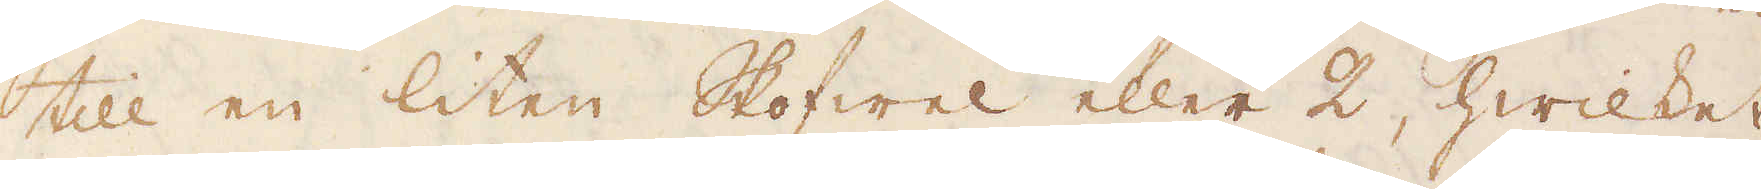till en liten Skofwel eller 2, hwilket
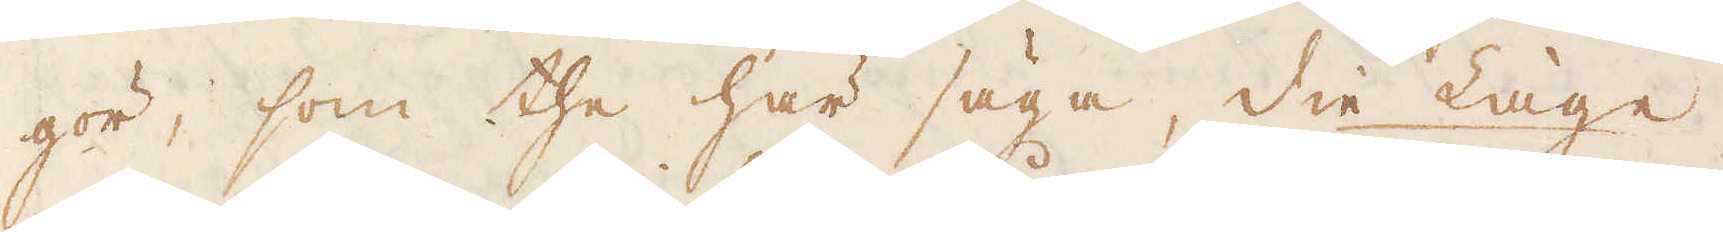gör, som the här säga, die Läge,
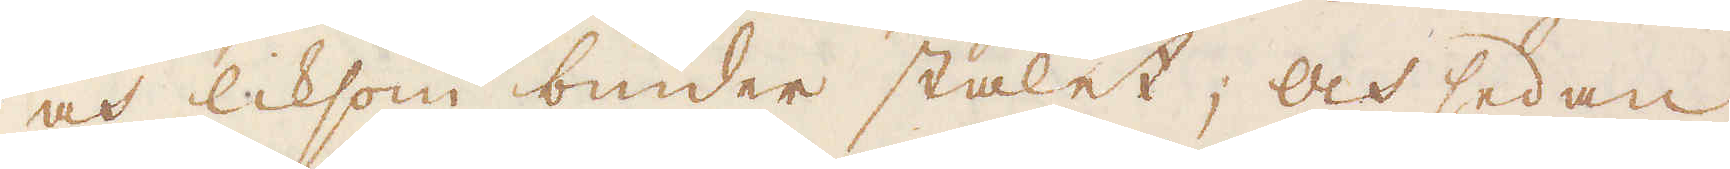och liksom binder stålet och sedan
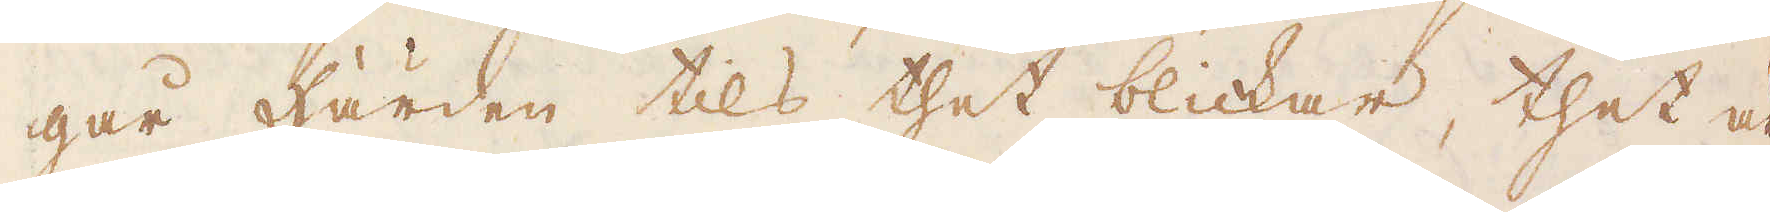går Härden tils thet blickar, thet är
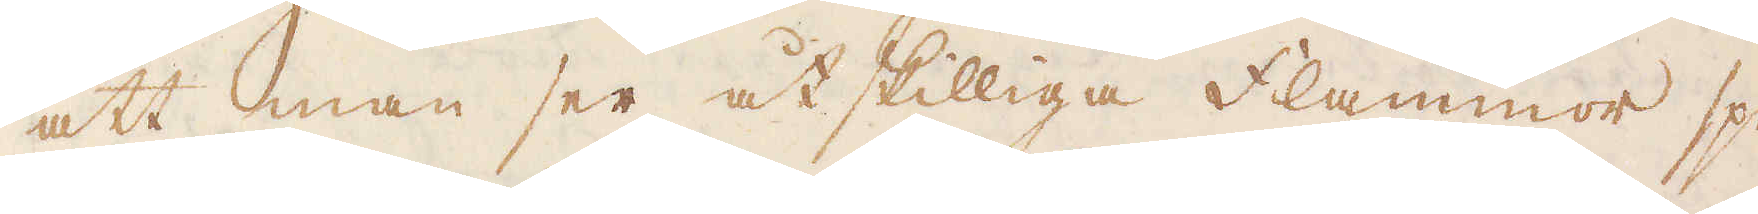att man ser åtskilliga flammor spe-
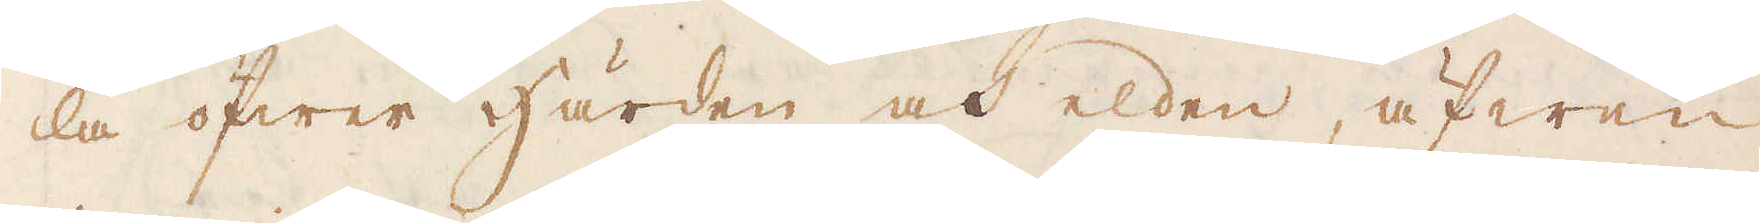la öfwer Härden och elden, äfwen
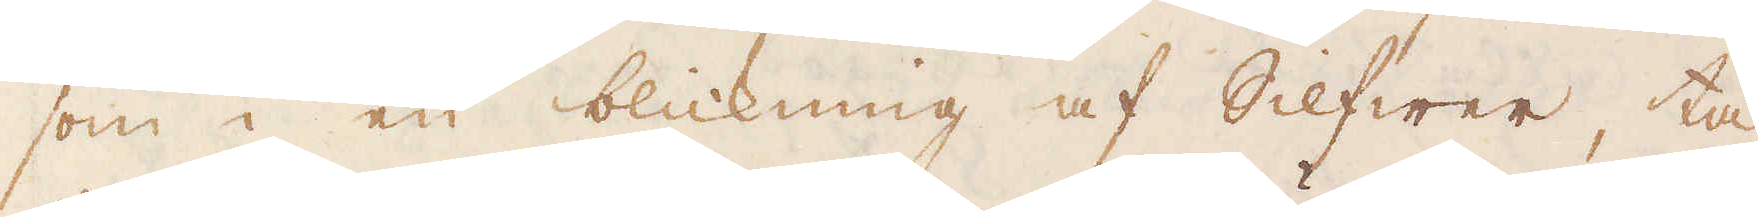som i en blickning af Silfwer, tå
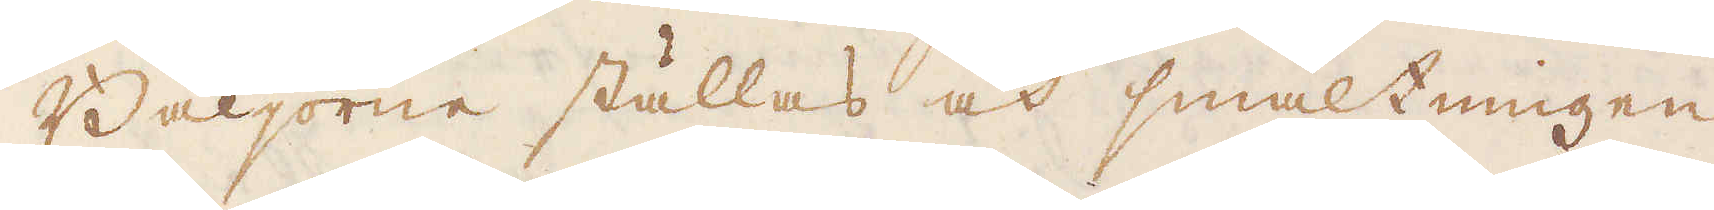Bäljorne ställas och smältningen
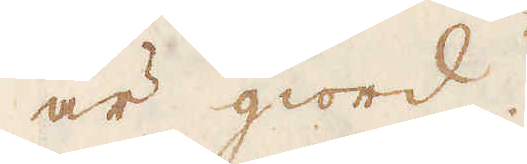är giord.
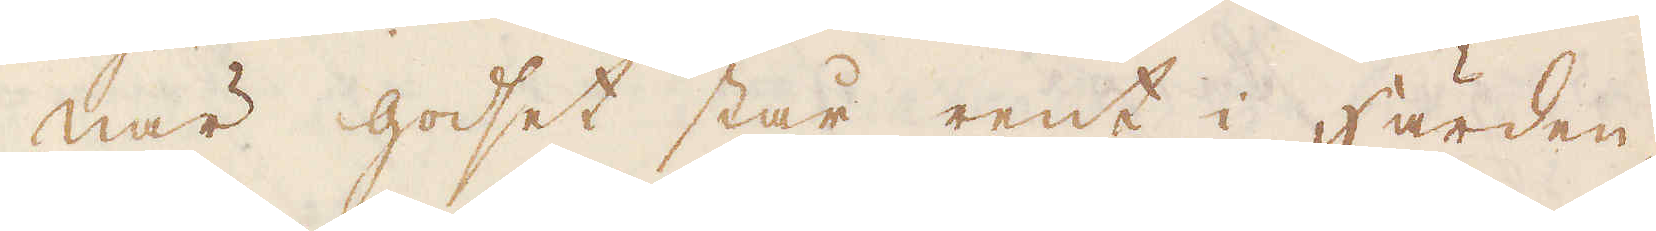När godset står rent i Härden,
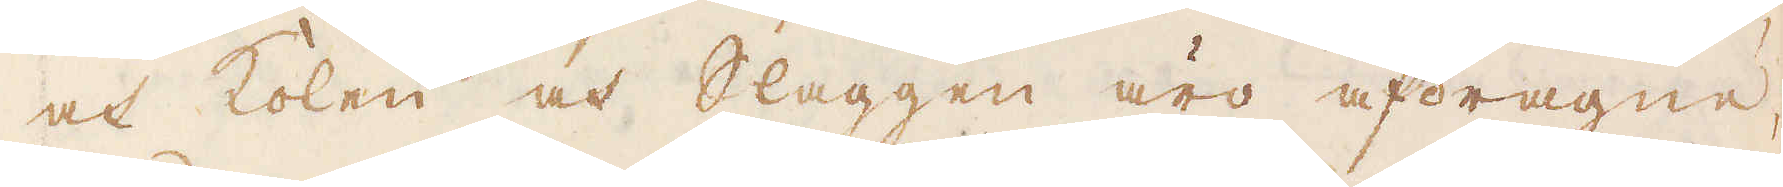och kolen och Slaggen äro afdragne
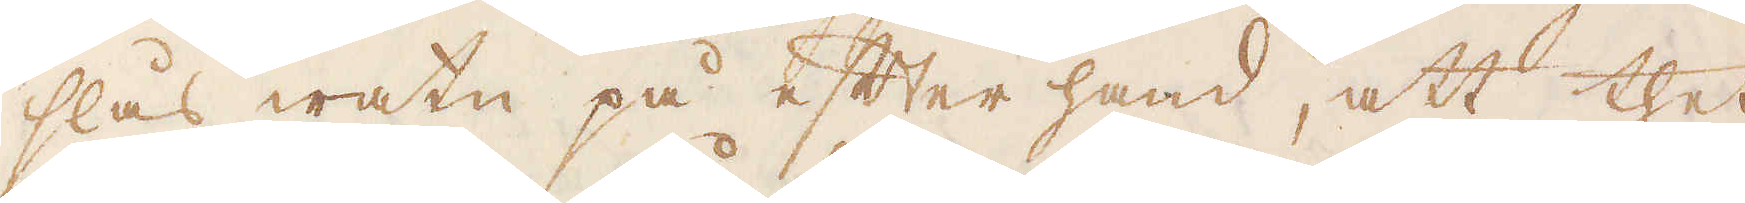slås watn på efter hand, att thet
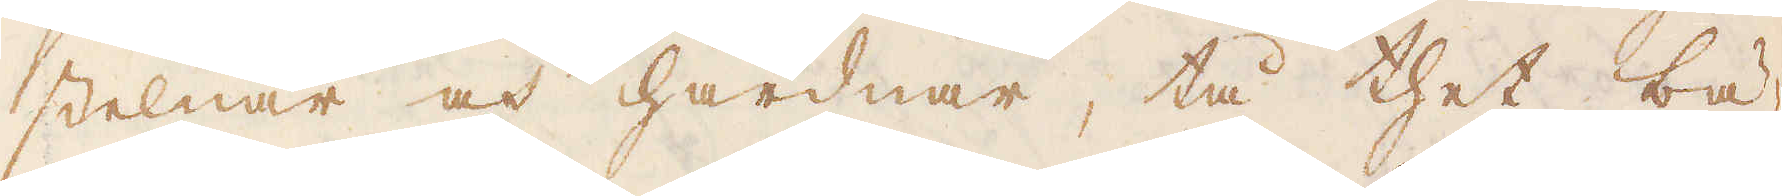stelnar och hårdnar, tå thet bä-
